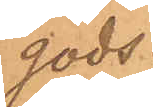gods.
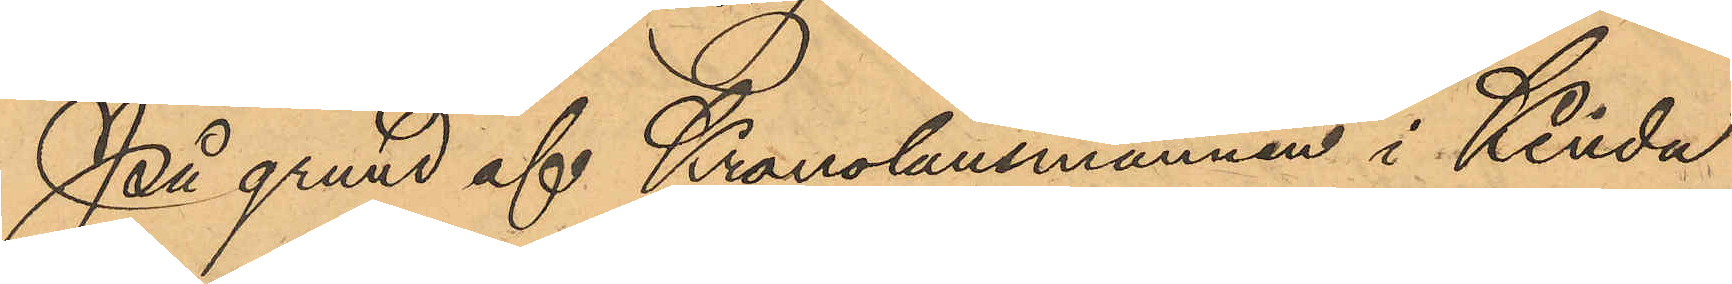På grund af Kronolänsmannen i Kinda
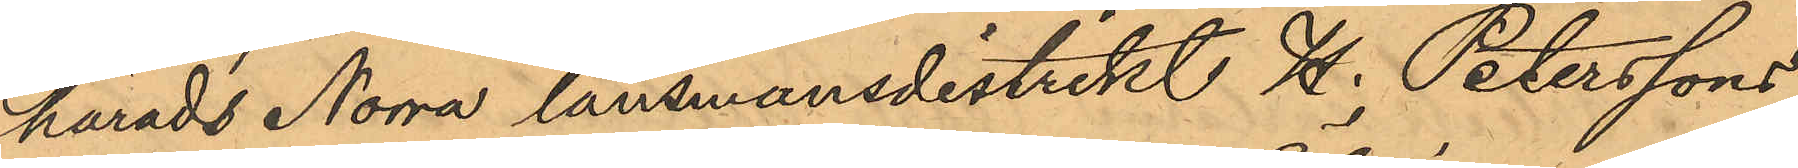härads Norra länsmansdistrikt H. Peterssons
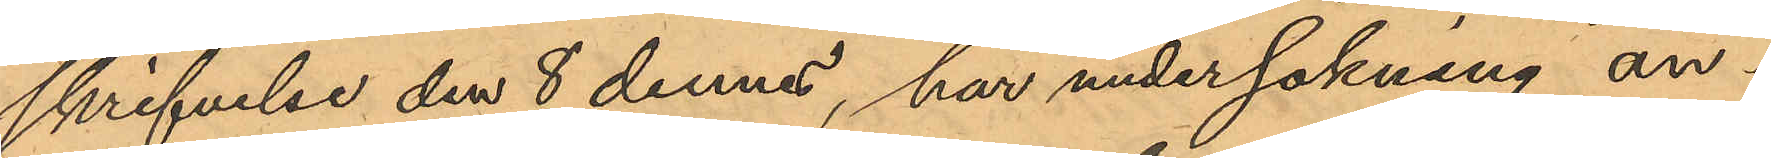skrifvelse den 8 dennes, har undersökning an¬
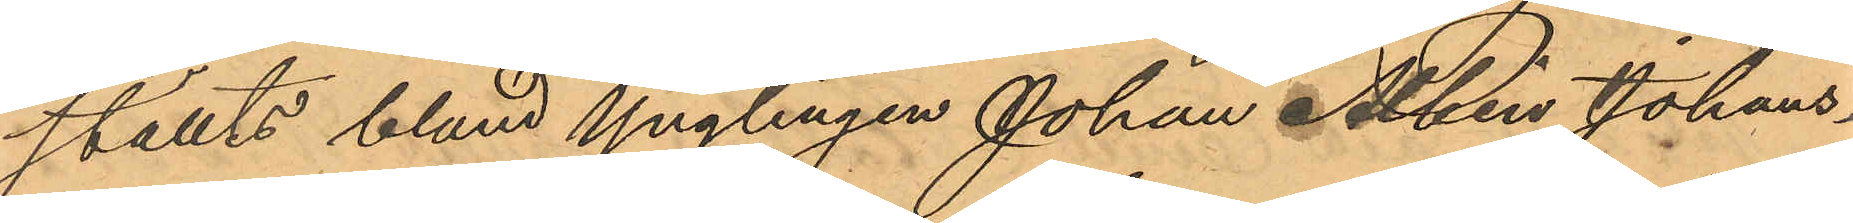ställts bland Ynglingen Johan Albin Johans¬
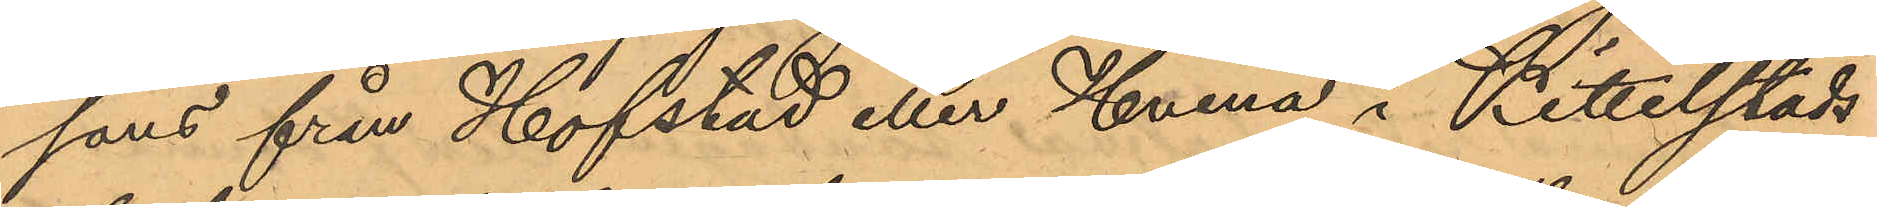sons från Hofstad eller Hvena i Kittelstads
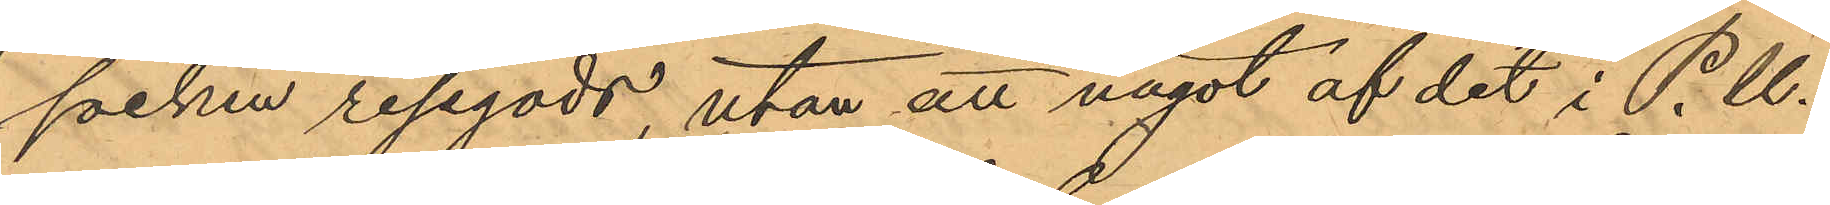socken resegods, utan att något af det i P.U.
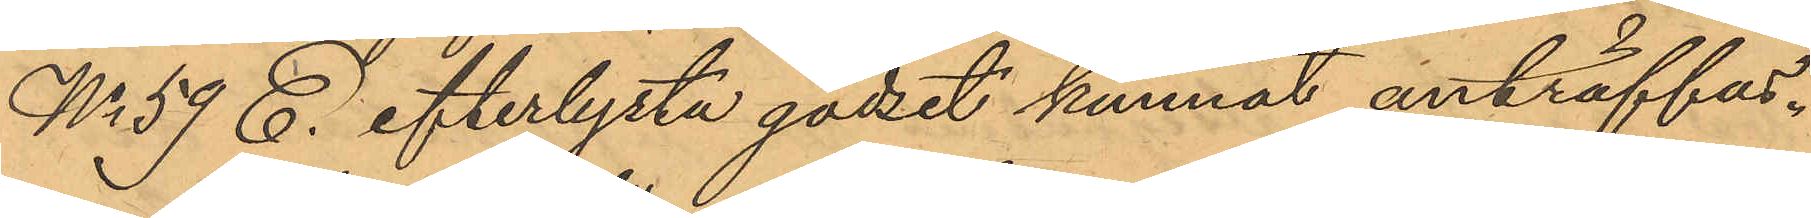No 59 E. efterlysta godset kunnat anträffas.
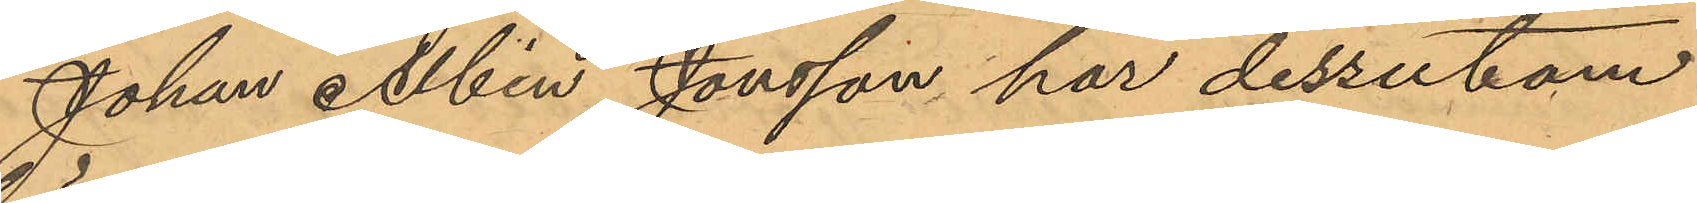Johan Albin Jonsson har dessutom
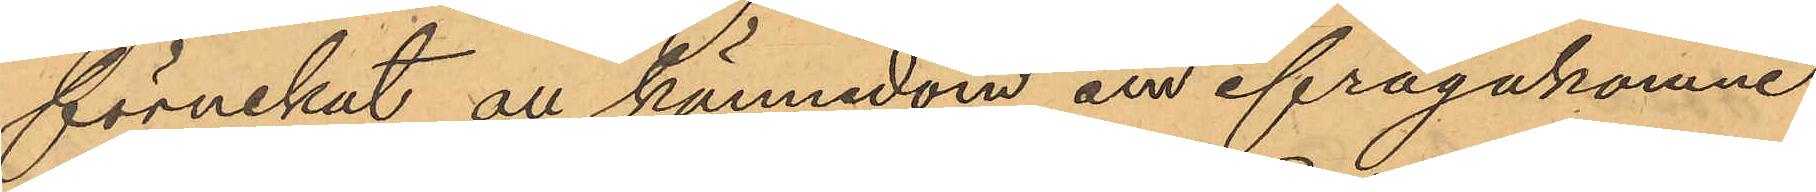förnekat all kännedom om ifrågakomne
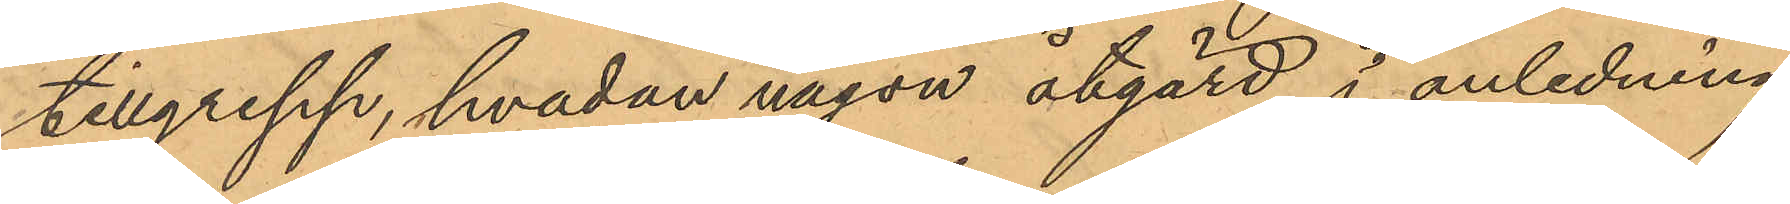tillgrepp, hvadan någon åtgärd i anledning
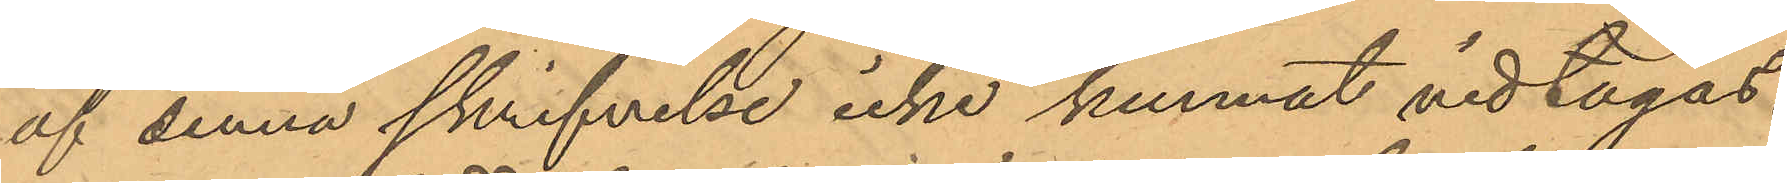af denna skrifvelse icke kunnat vidtagas.
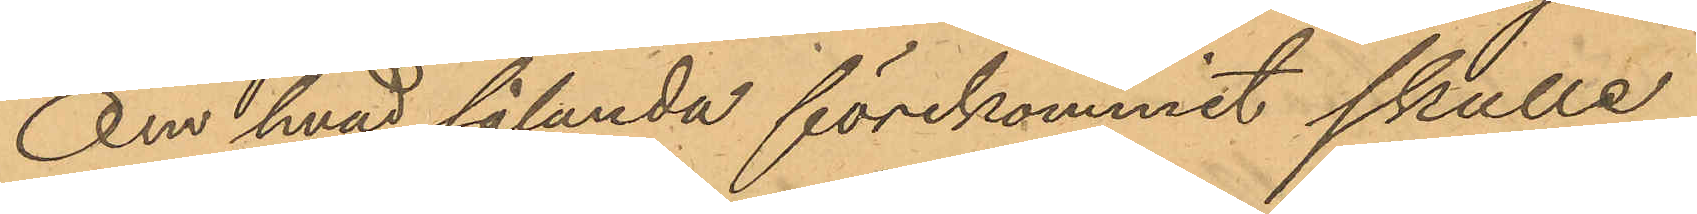Om hvad sålunda förekommit skulle
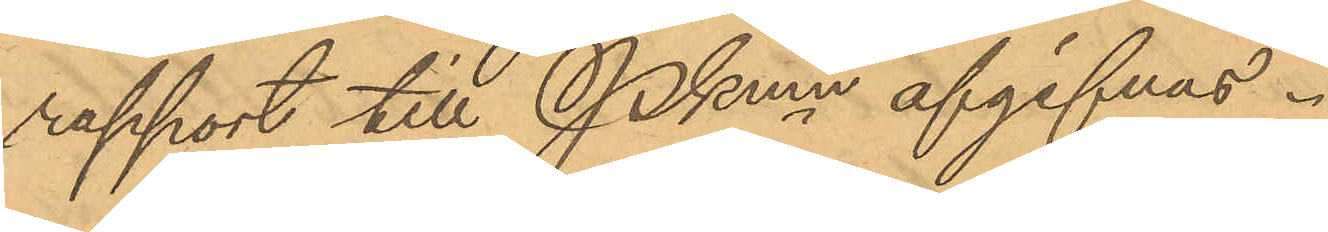rapport till Pkmn afgifvas.
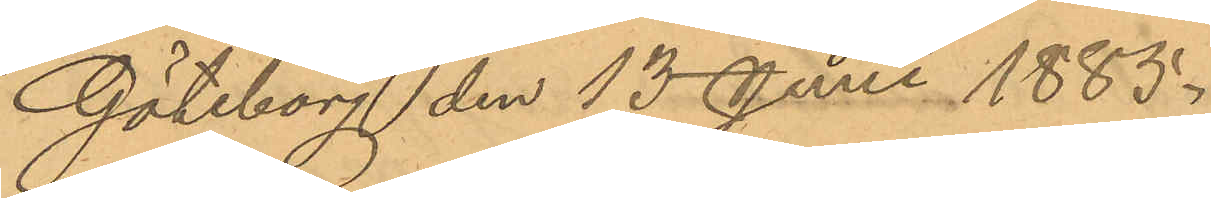Göteborg den 15 Juni 1885.
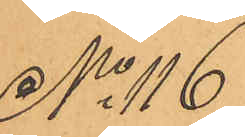No 116
